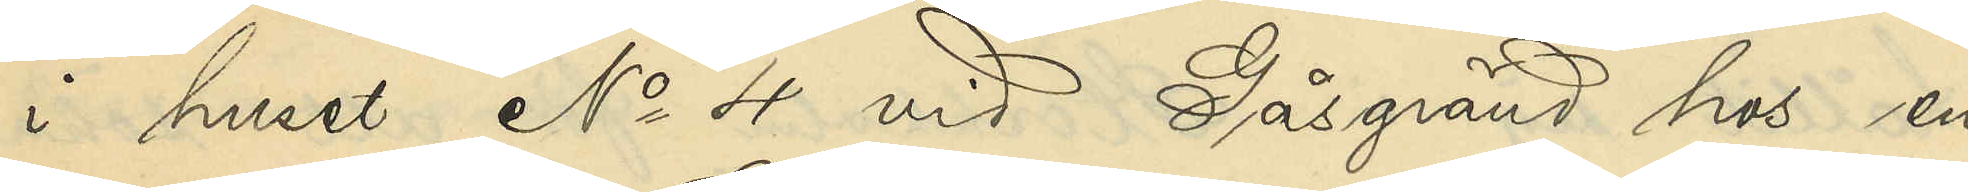i huset No 4 vid Gåsgränd hos en
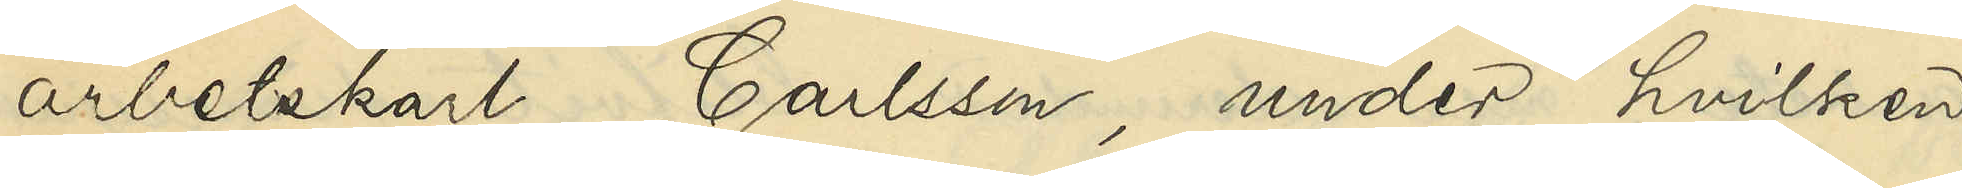arbetskarl Carlsson, under hvilken
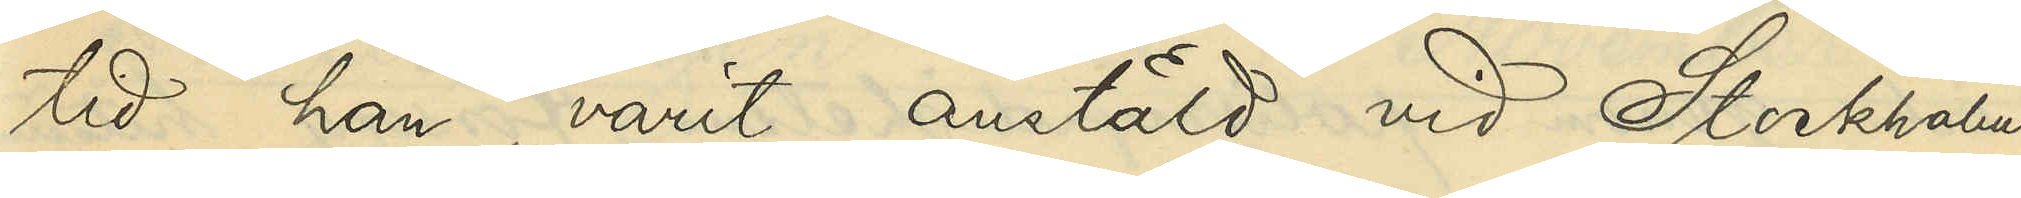tid han varit anstäld vid Stockholms
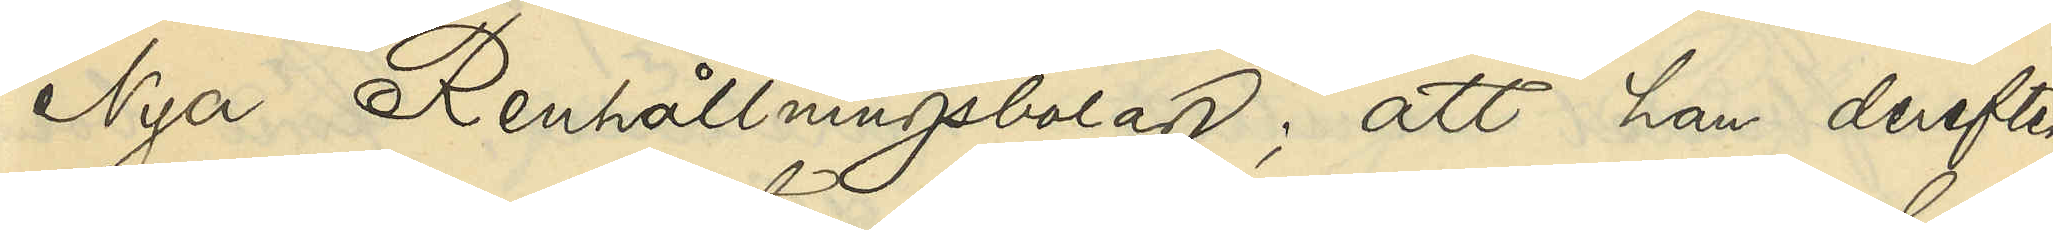Nya Renhållningsbolag; att han derefter
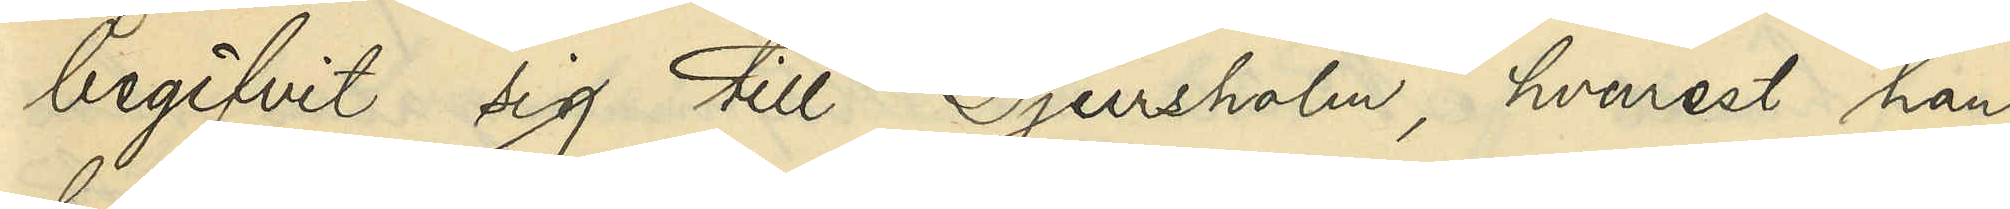begifvit sig till Djursholm, hvarest han
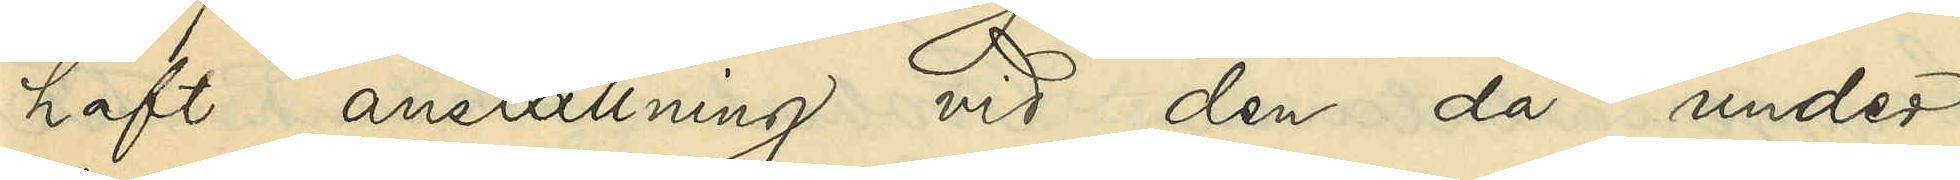haft anställning vid den då under
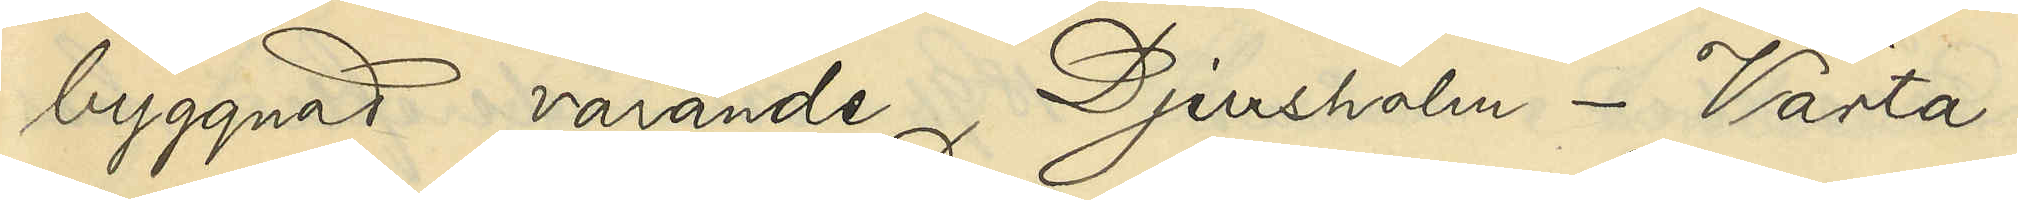byggnad varande Djursholm - Värta -
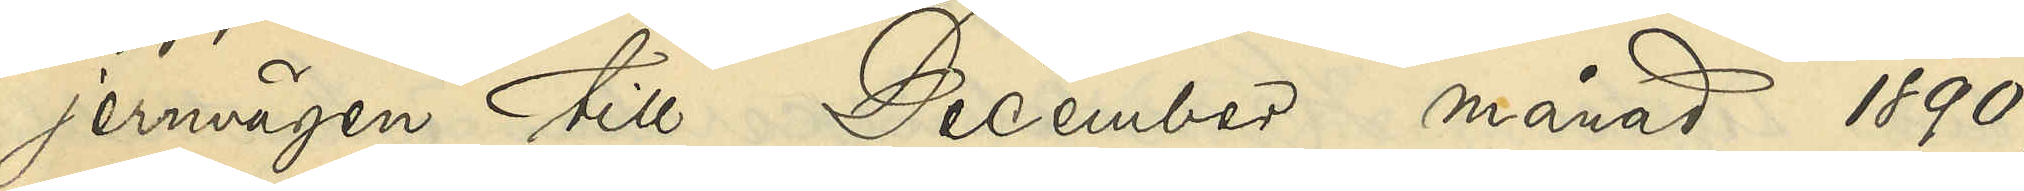jernvägen till December månad 1890,
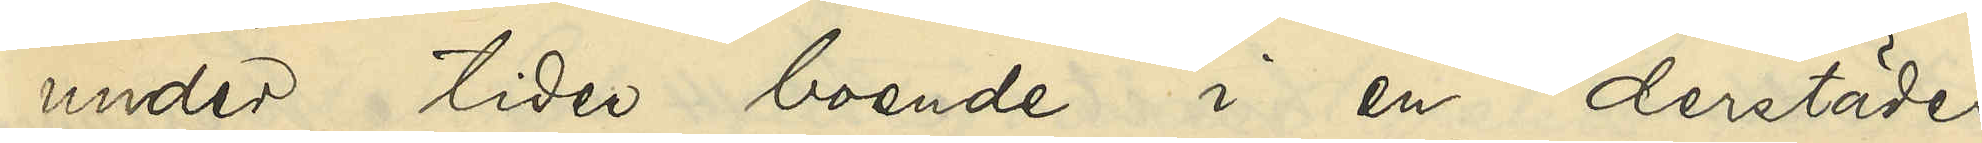under tiden boende i en derstädes
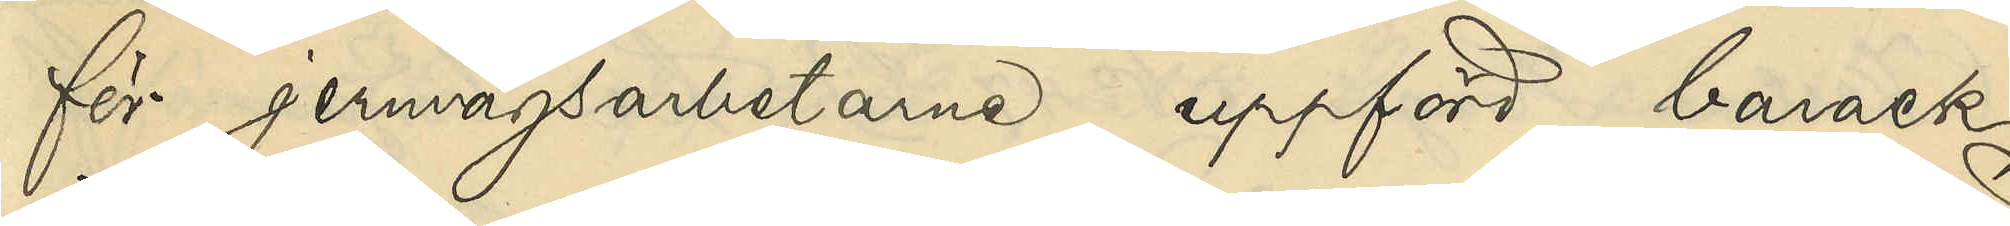för jernvägsarbetarne uppförd barack;
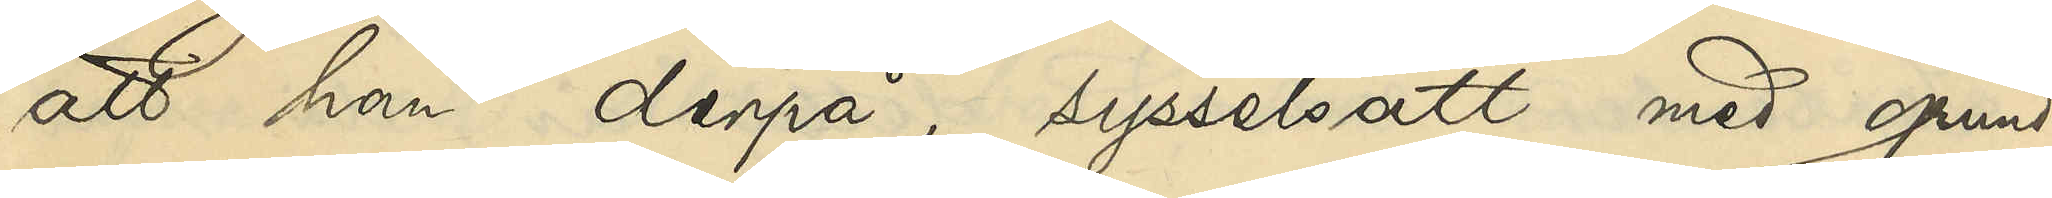att han derpå, sysselsatt med grund¬
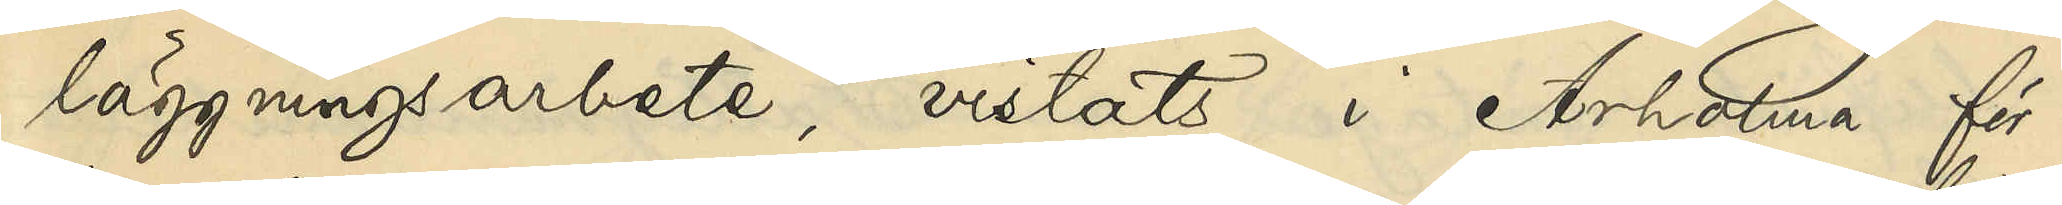läggningsarbete, vistats i Arholma för¬
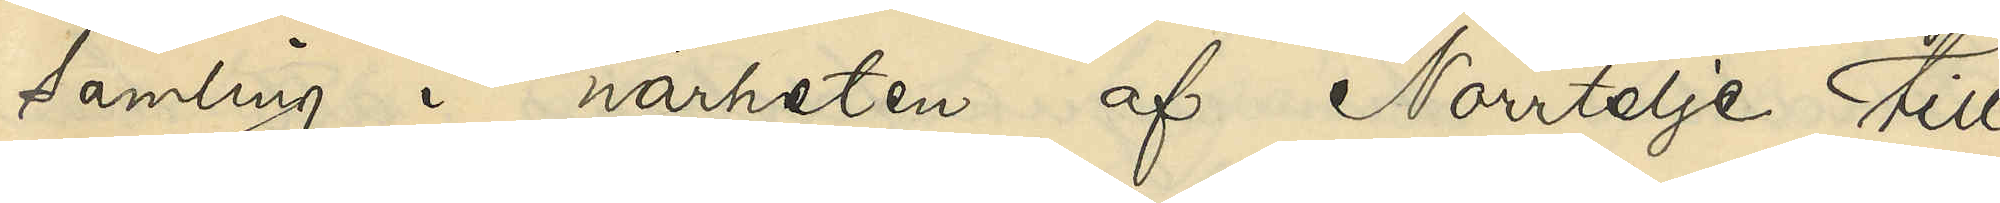samling i närheten af Norrtelje till
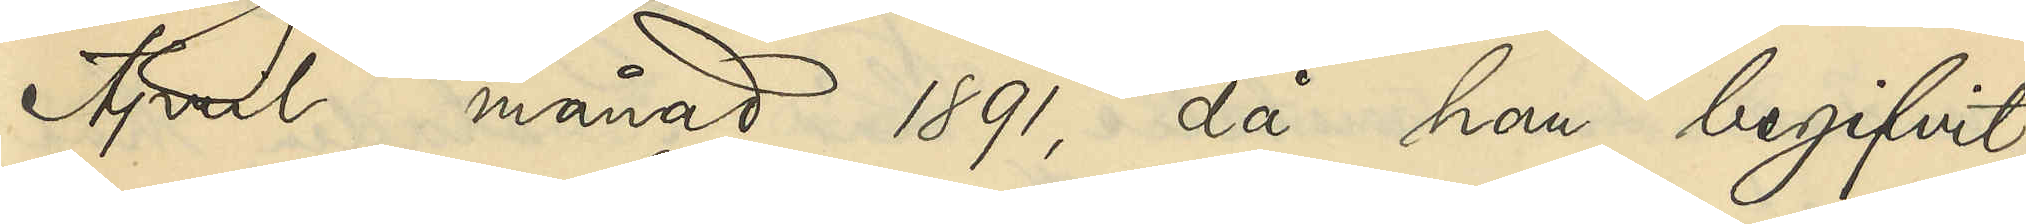April månad 1891, då han begifvit
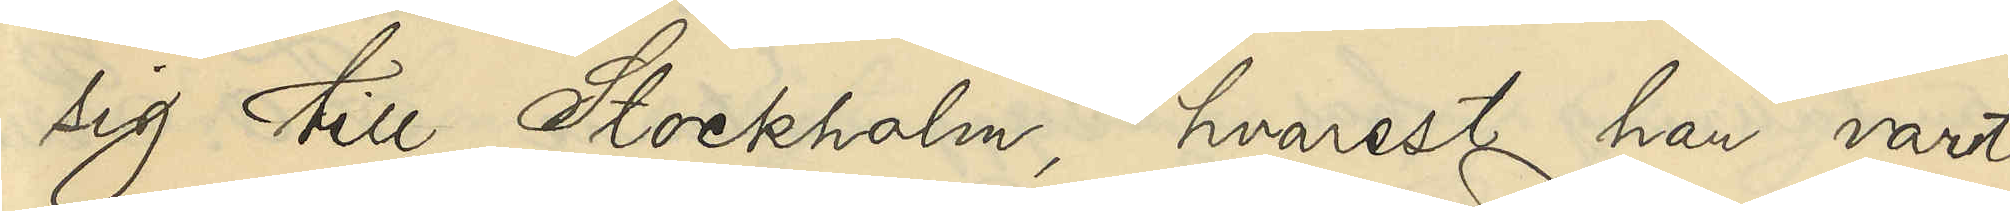sig till Stockholm, hvarest han varit
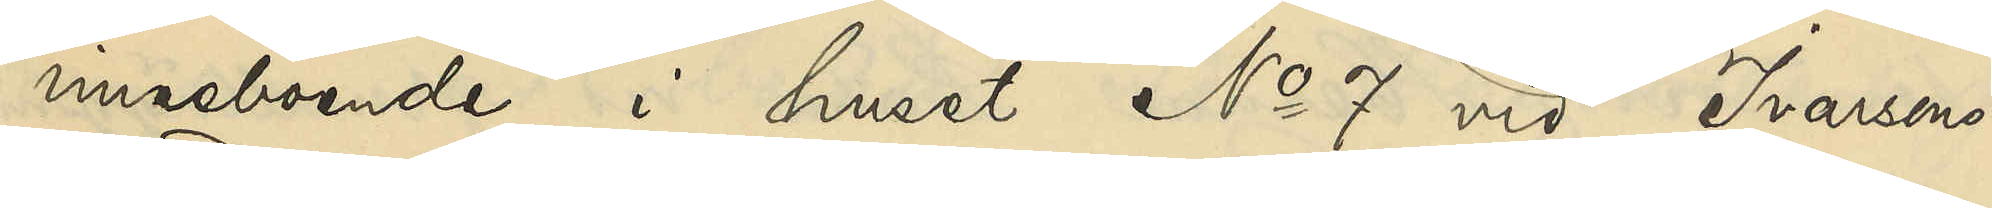inneboende i huset No 7 vid Ivarssons
